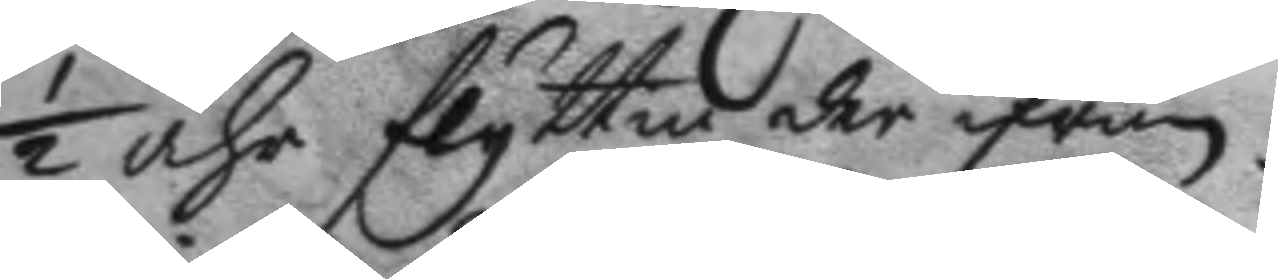½ åhr flyttia der ifrån.
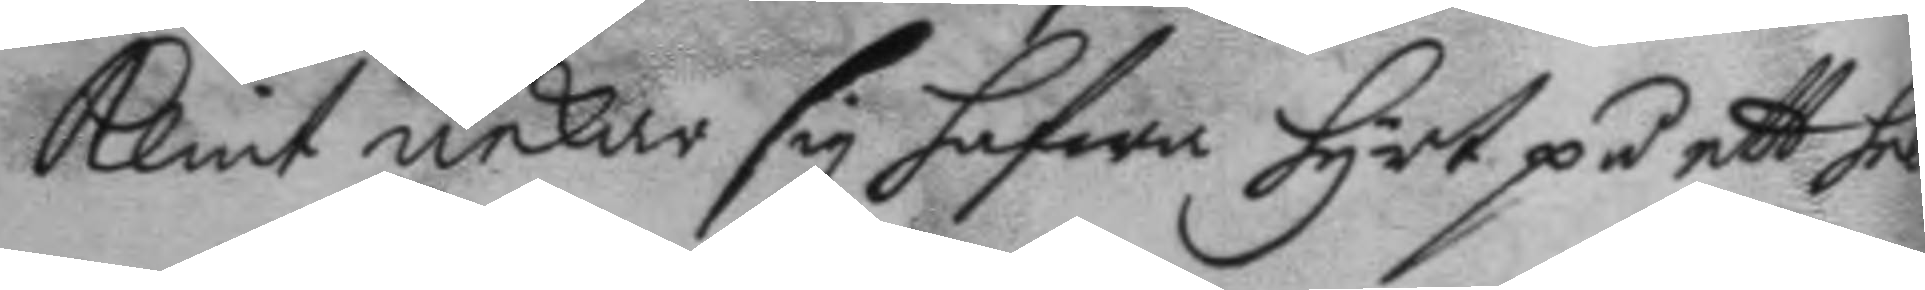Klint nekar sig hafwa hyrt på ett helt
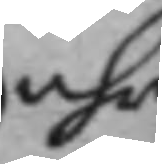åhr
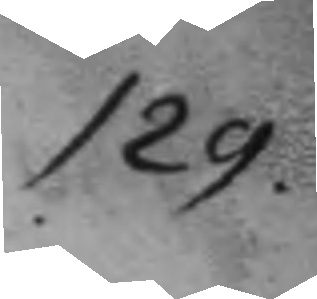129.
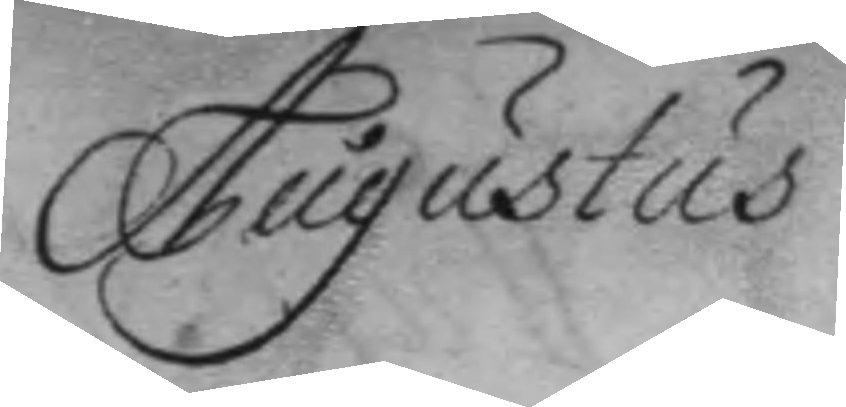Augustus
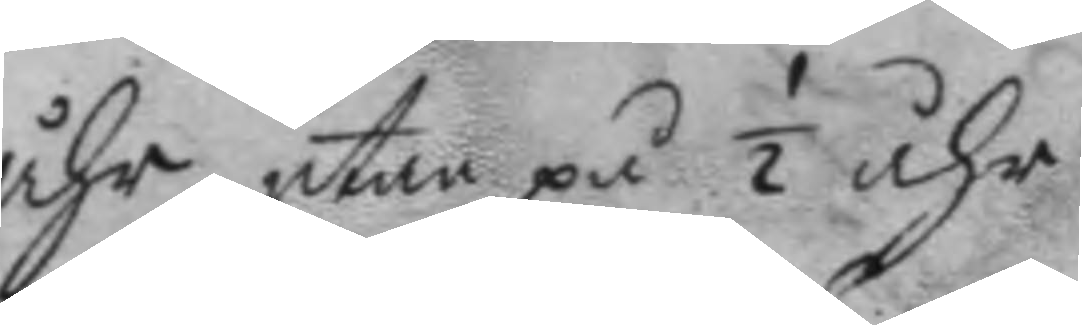åhr, utan på ½ åhr.
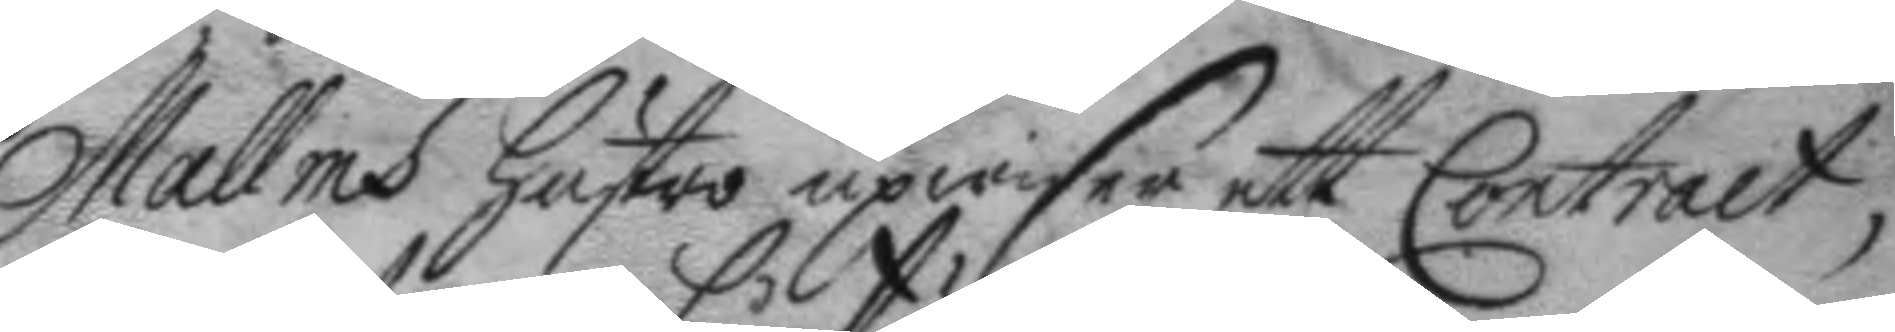Mallms hustro upwiser ett Contract,
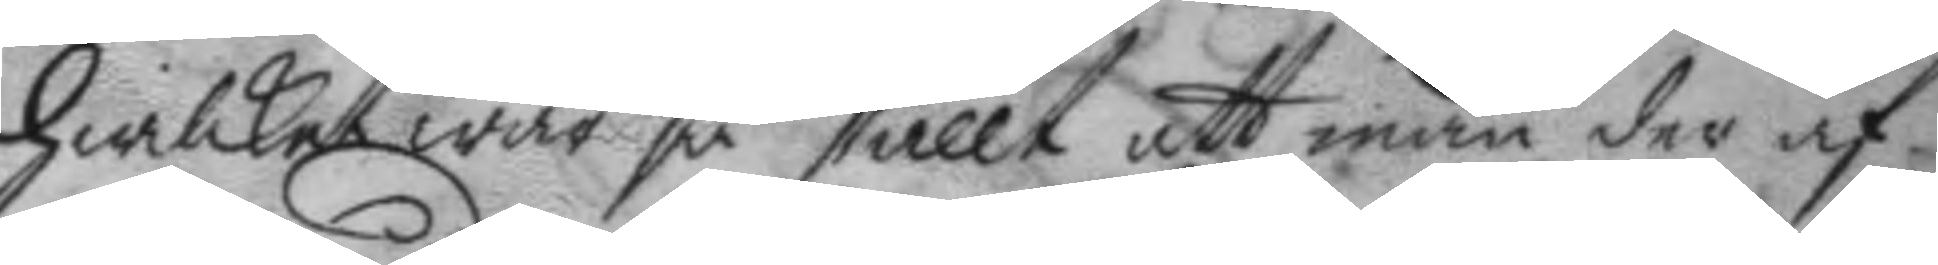hwilket war så ställt att man der af
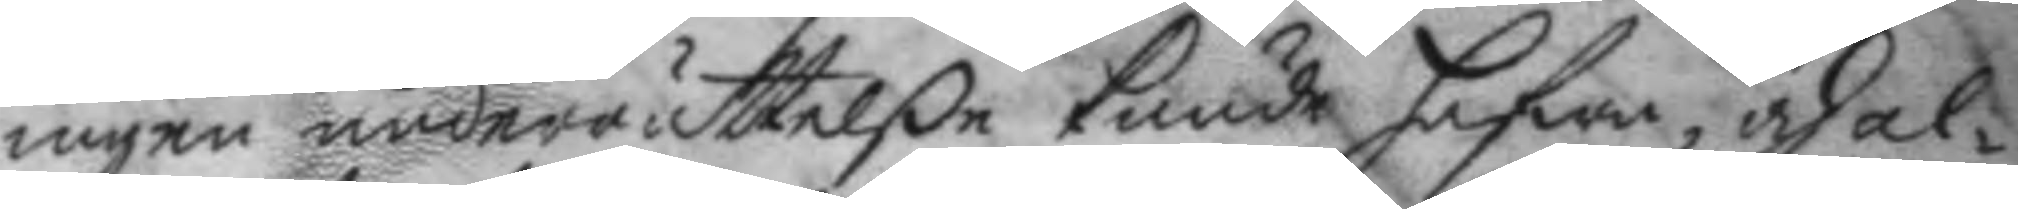ingen underrättelße kunde hafwa, och al¬
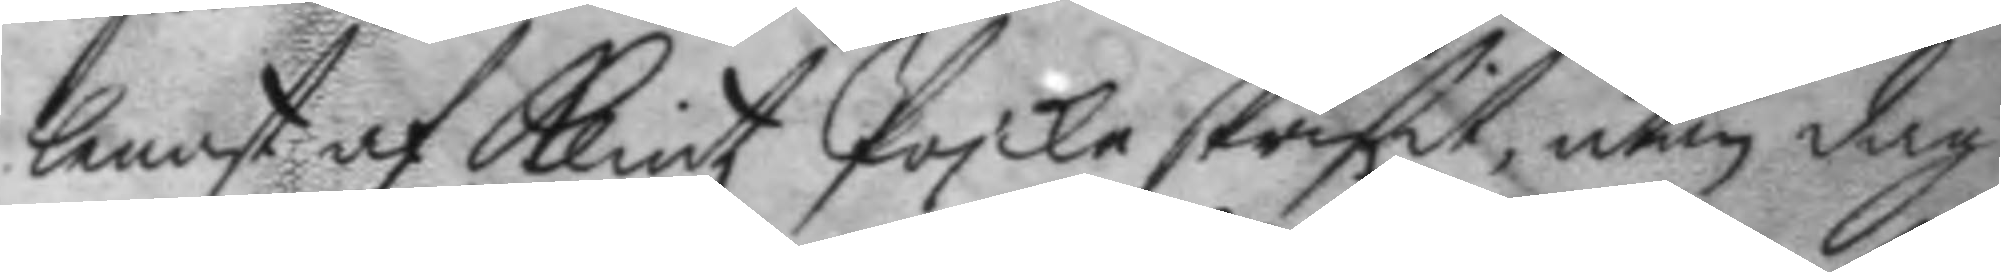lenast af Klintz Pojke skrifit, utan dag
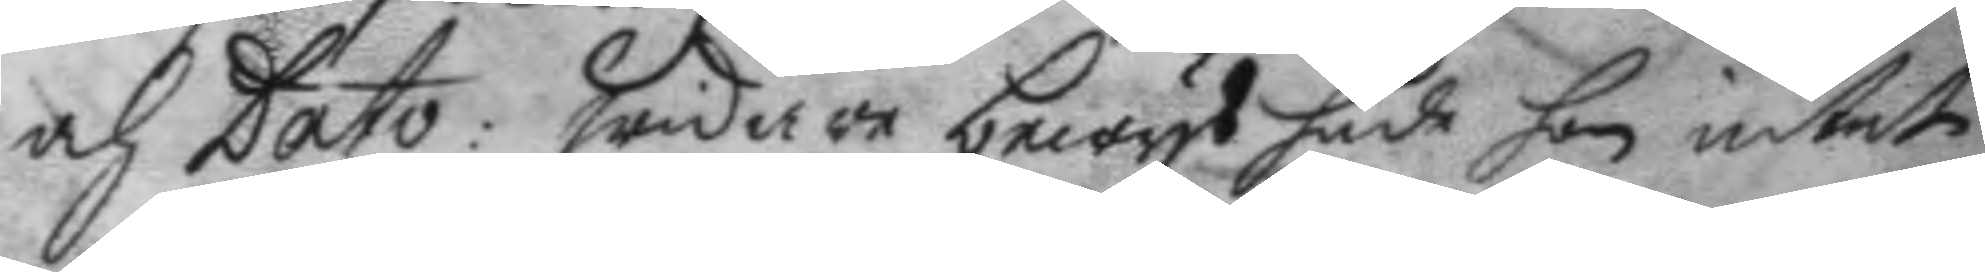och Dato: Widare bewys hade hon intet
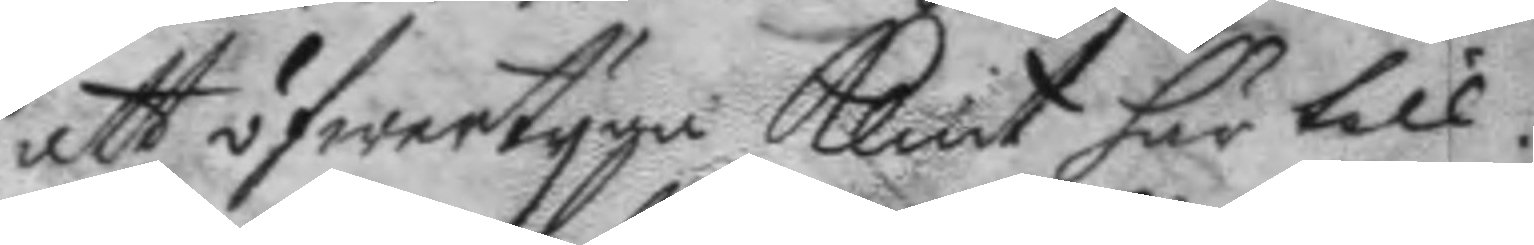att öfwertyga Klint här till.
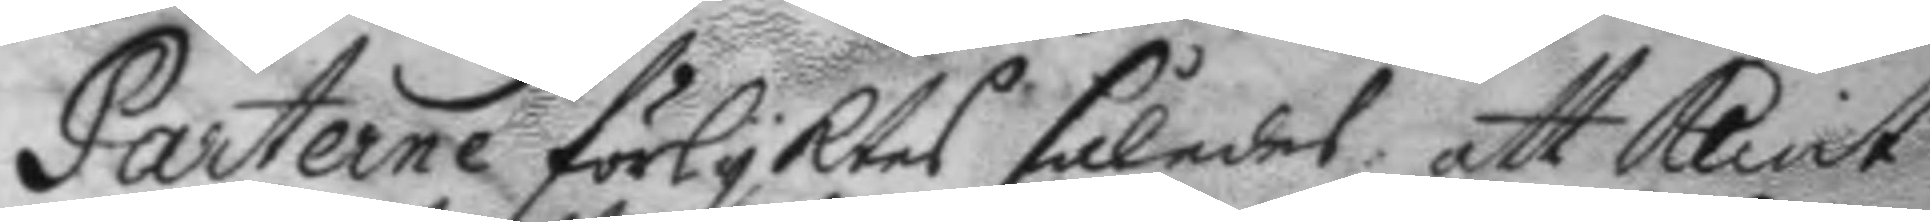Parterne förlyktes således att Klint
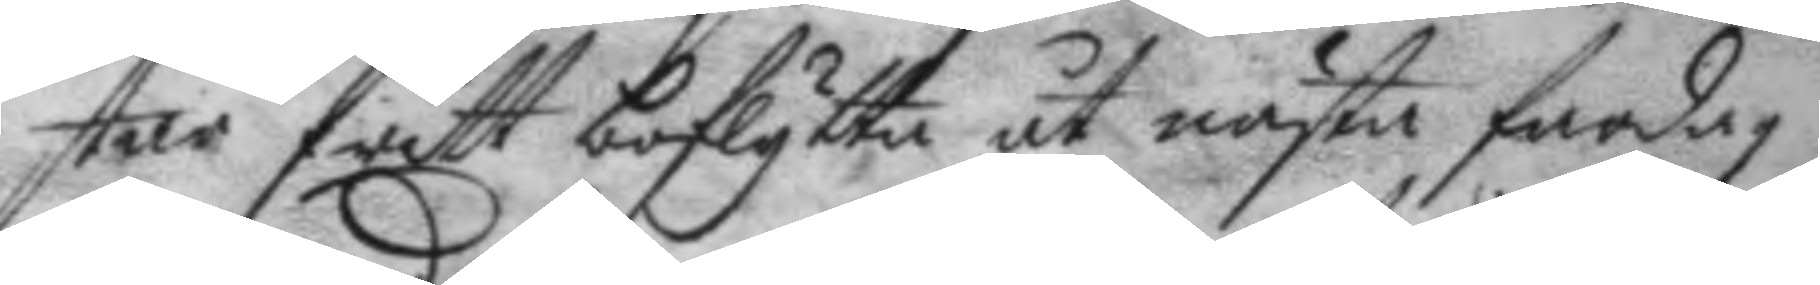står fritt boflytta ut nästa fardag:
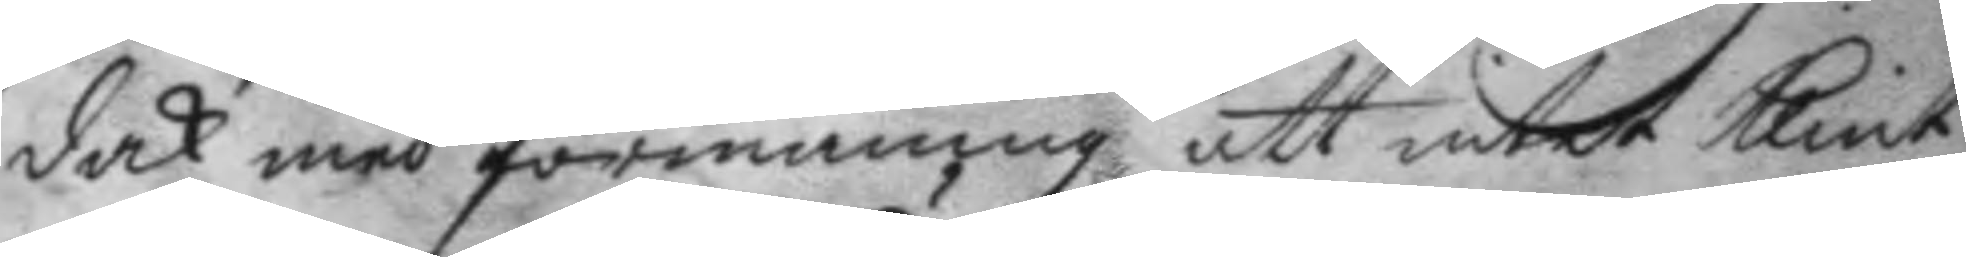dock med förmaning att intet Klint
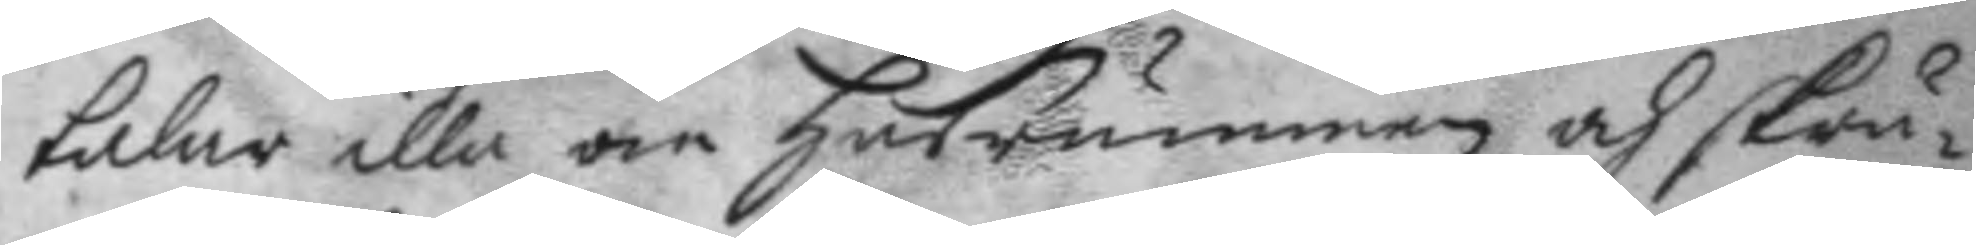talar illa om husrummen och skrä¬
